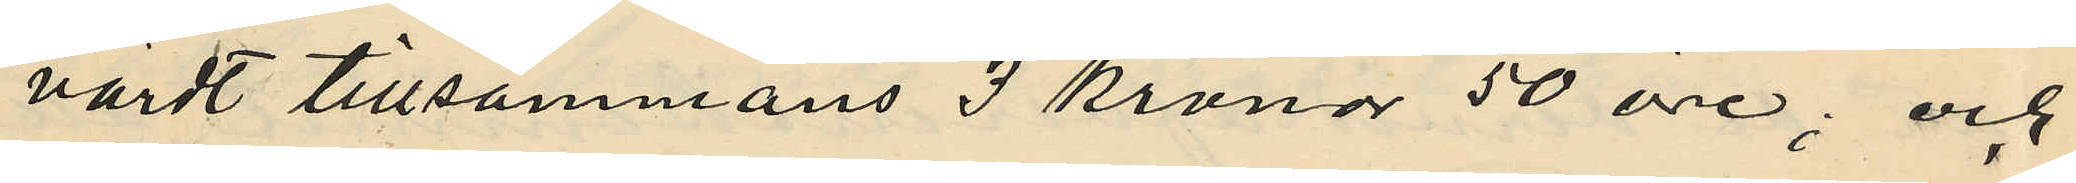värdt tillsammans 3 kronor 50 öre; och
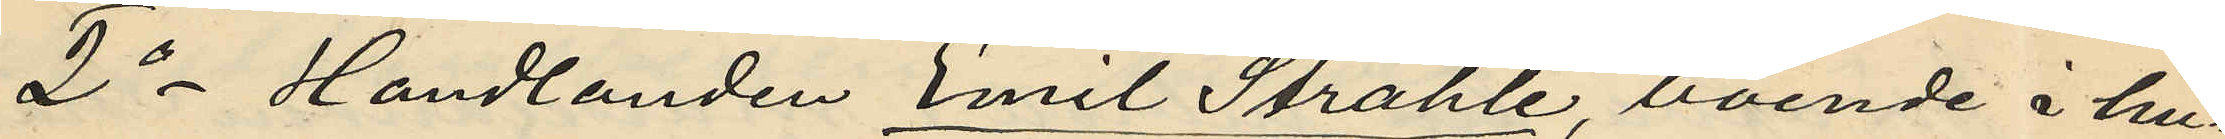2o Handlanden Emil Stråhle, boende i hu¬
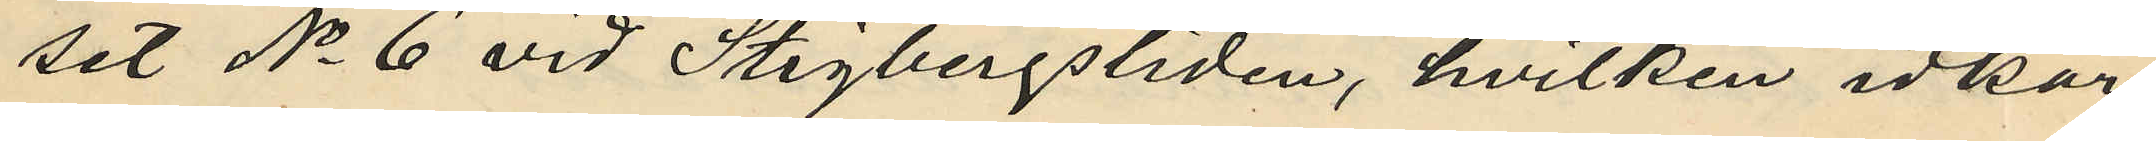set No 6 vid Stigbergsliden, hvilken idkar
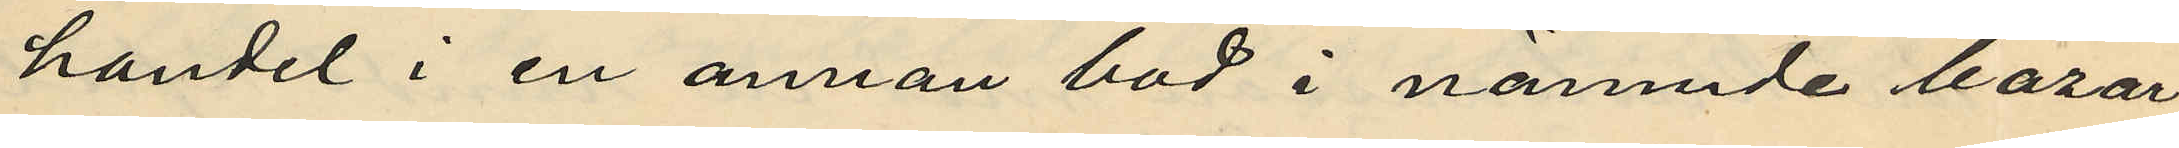handel i en annan bod i nämnde bazar
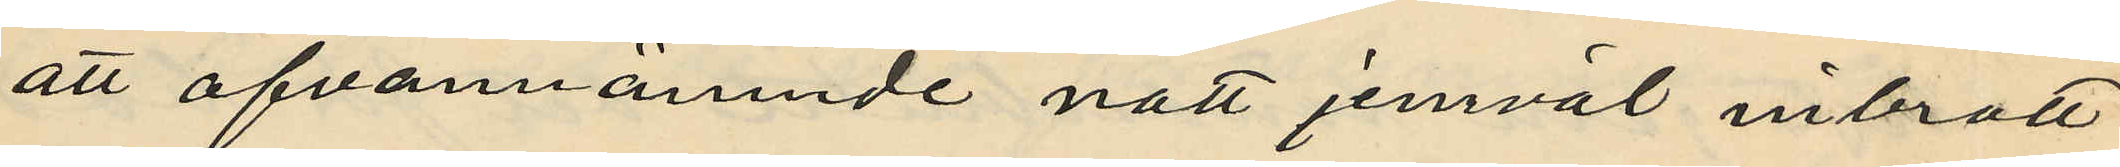att ofvannämnde natt jemväl inbrott
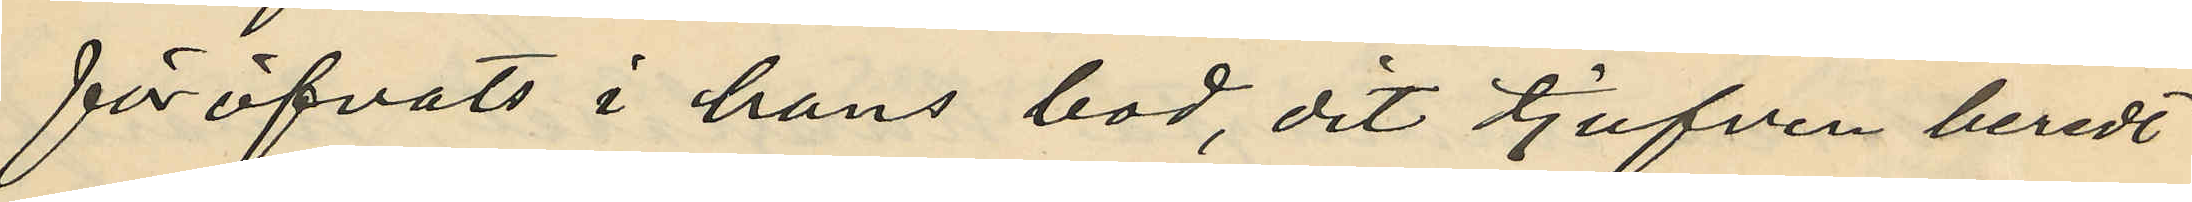föröfvats i hans bod, dit tjufven beredt
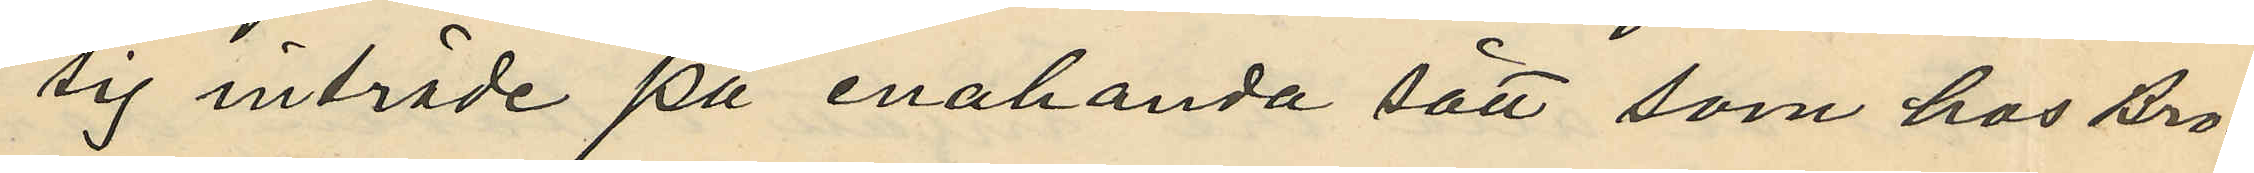sig inträde på enahanda sätt som hos Bro¬
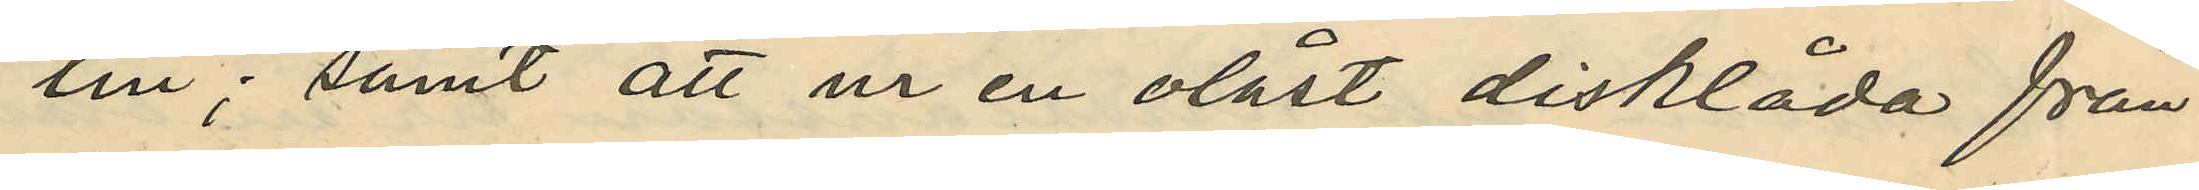lin; samt att ur en olåst disklåda från
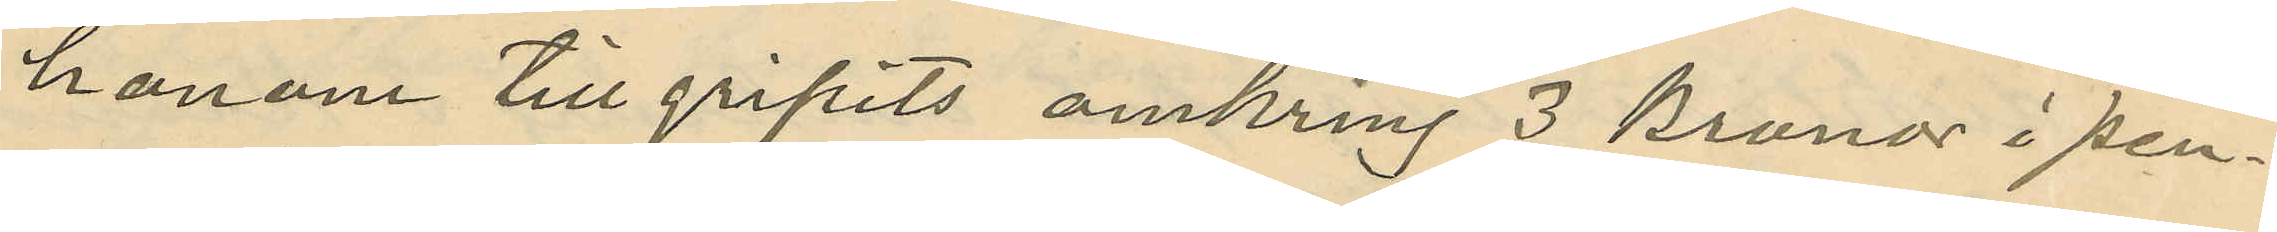honom tillgripits omkring 3 kronor i pen¬
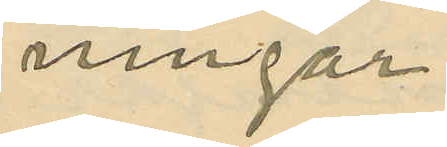ningar.
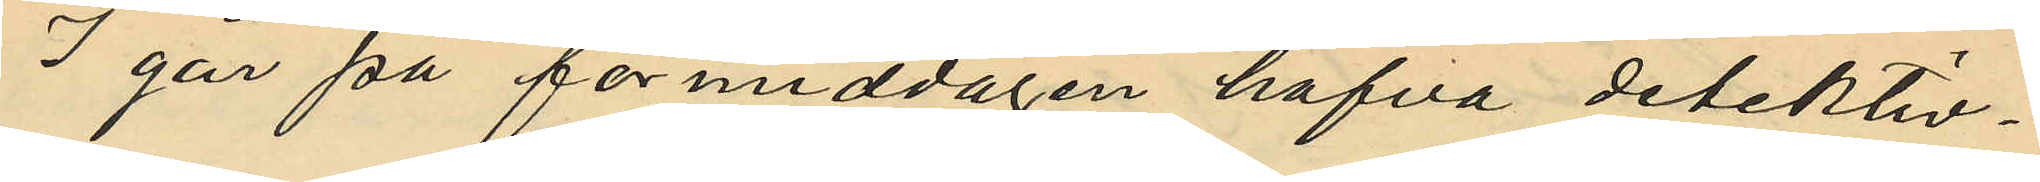I går på förmiddagen hafva detektiv¬
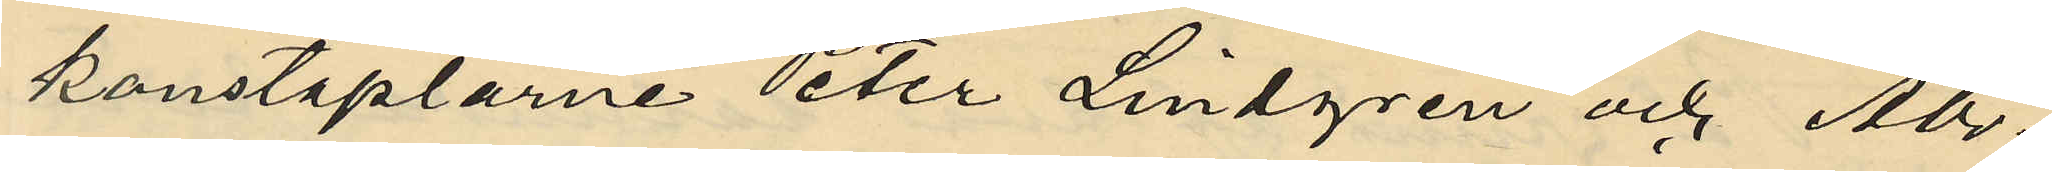konstaplarne Peter Lindgren och Abr.
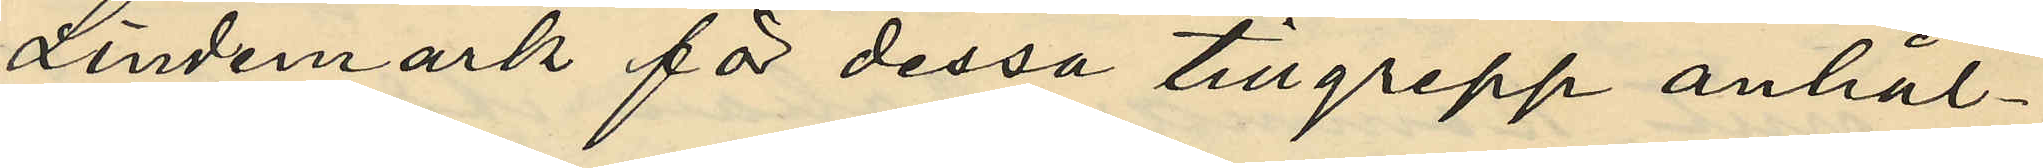Lindemark för dessa tillgrepp anhål¬
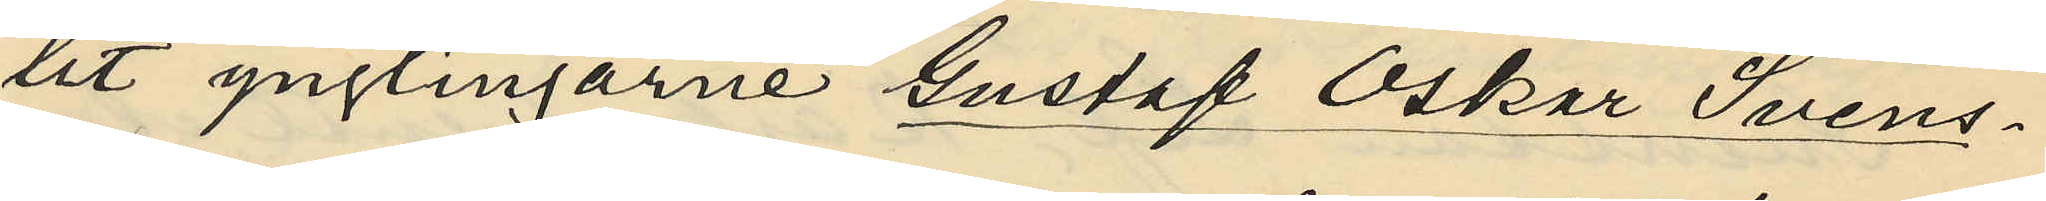lit ynglingarne Gustaf Oskar Svens¬
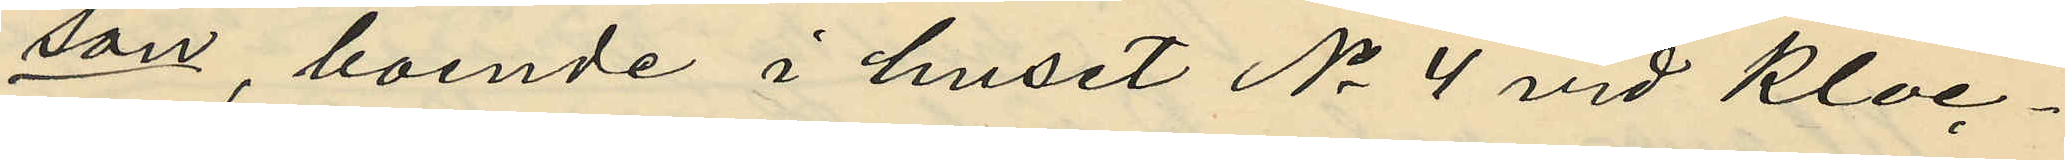son, boende i huset No 4 vid Kloc¬
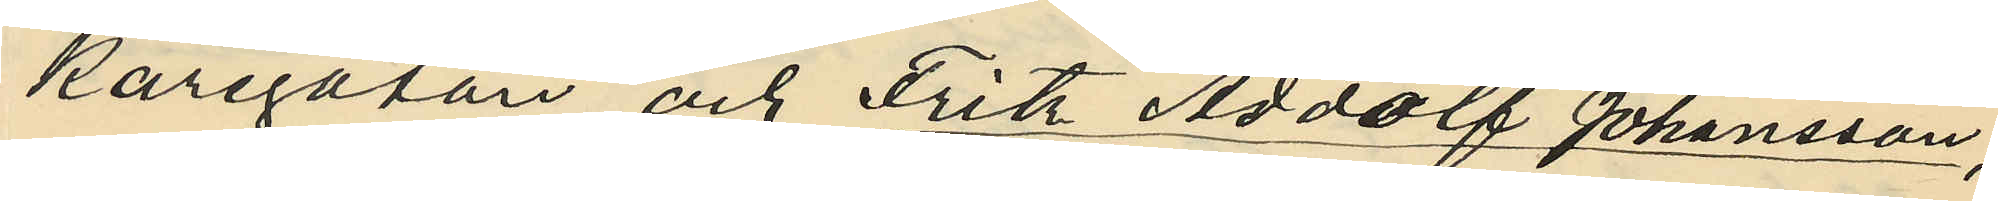karegatan och Fritz Addolf Johansson,
